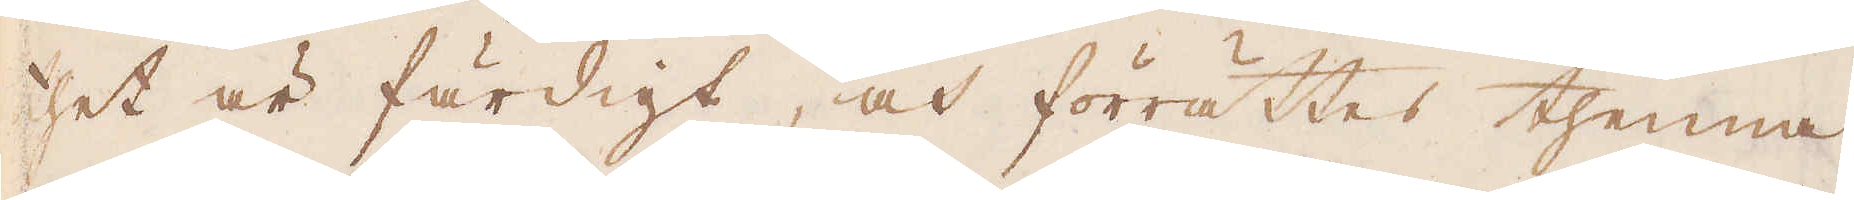thet är färdigt, och förrättes thenna
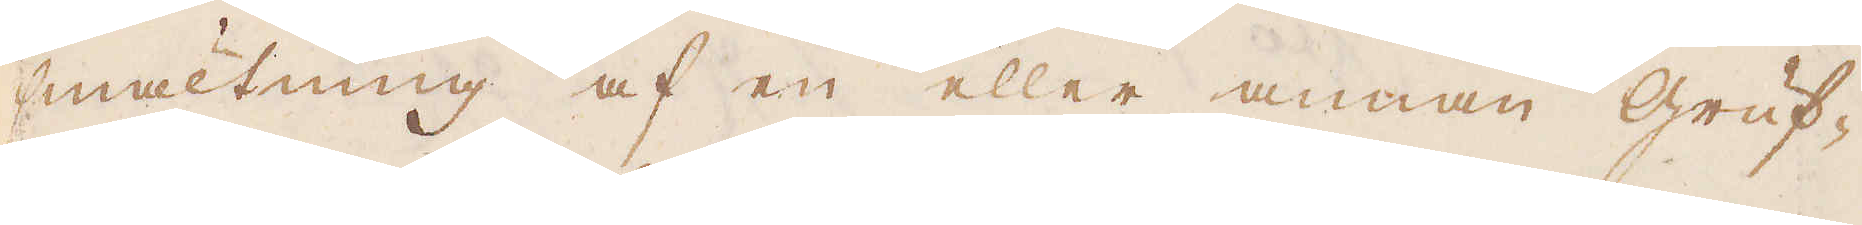smältning af en eller annan gruf-
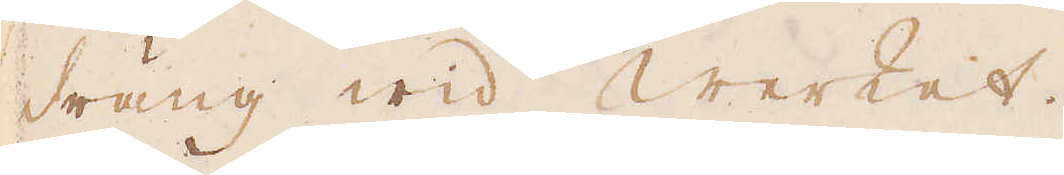dräng wid werket.
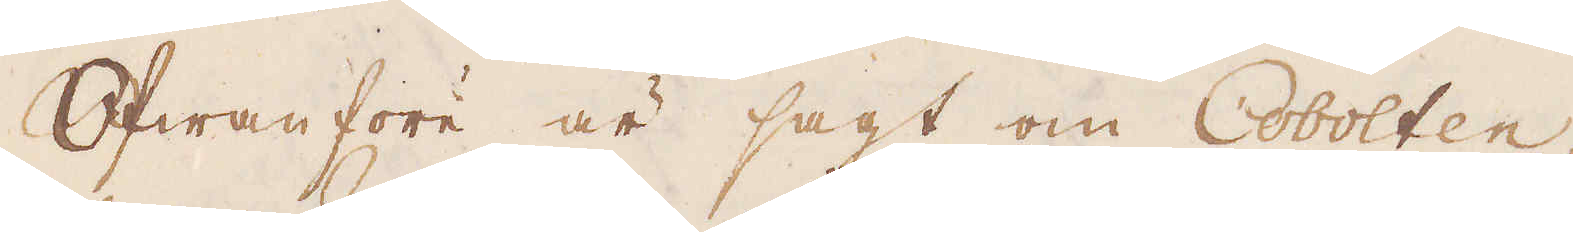Ofwanföre är sagt om Cobolten,
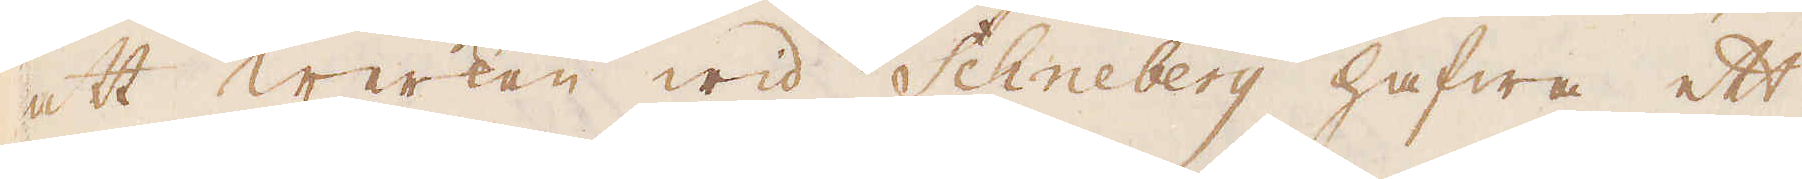att werken wid Schneberg hafwa ett
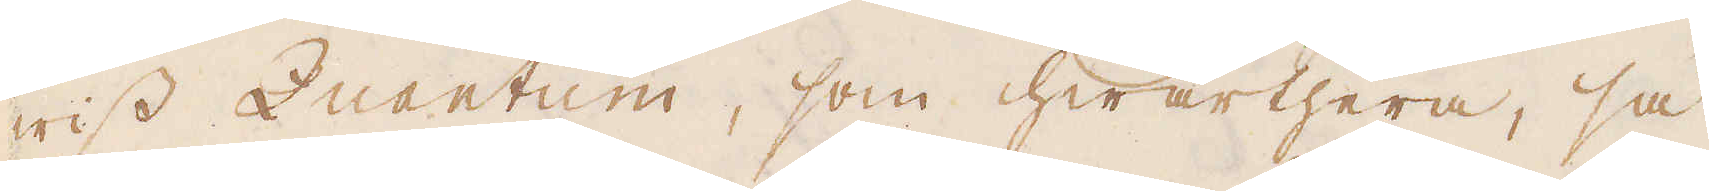wiss Quantum, som hwarthera, så
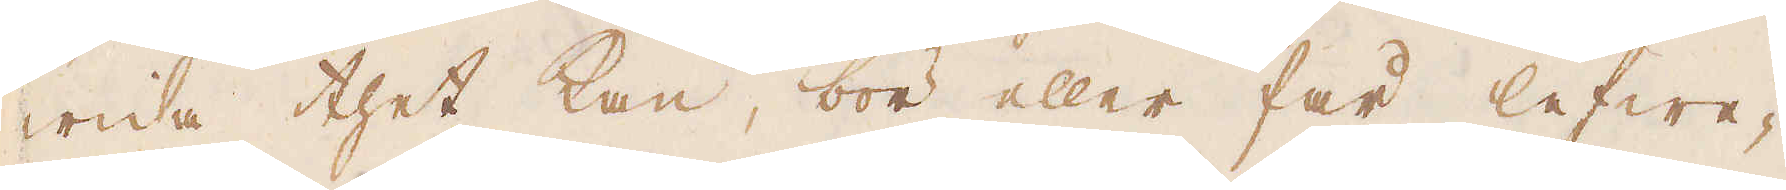wida thet kan, bör eller får lefwe-
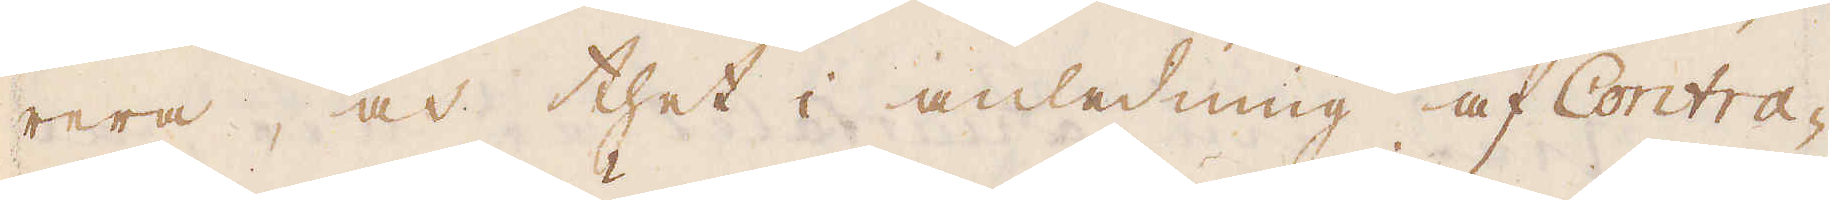rera, och thet i anledning af Contra-
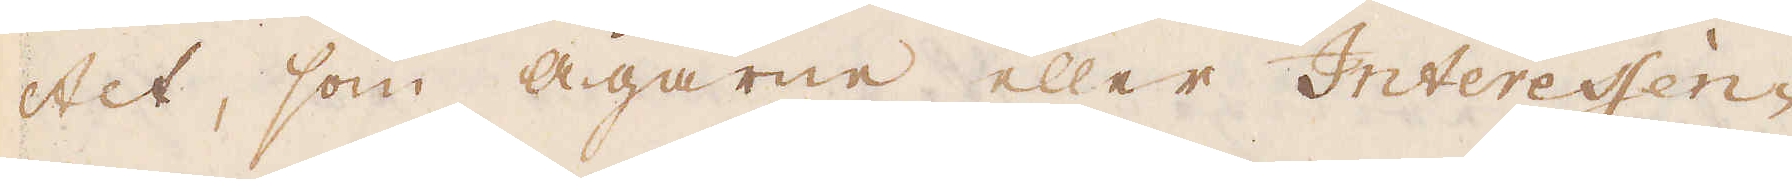ctet, som Ägarne eller Interessen-
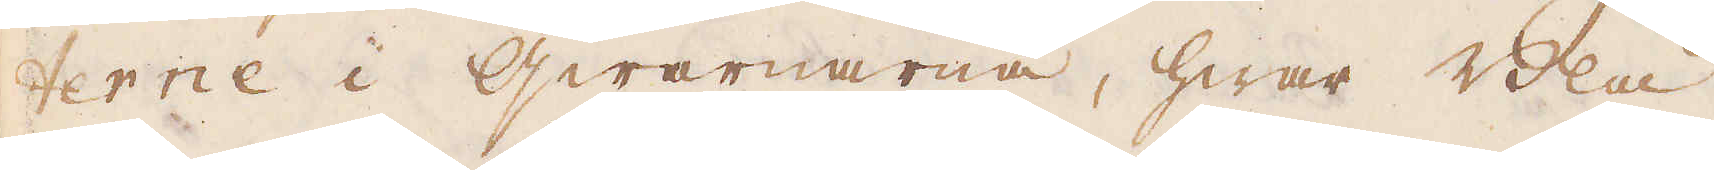terne i qwarnarna, hwar Blå
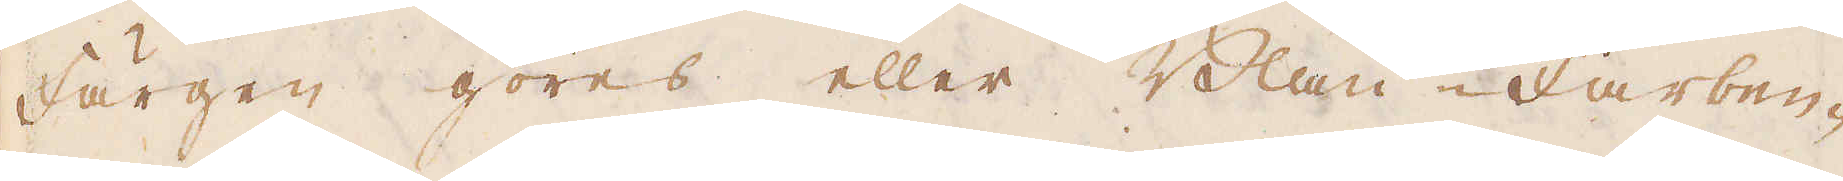färgen göres eller Blau-Farben-
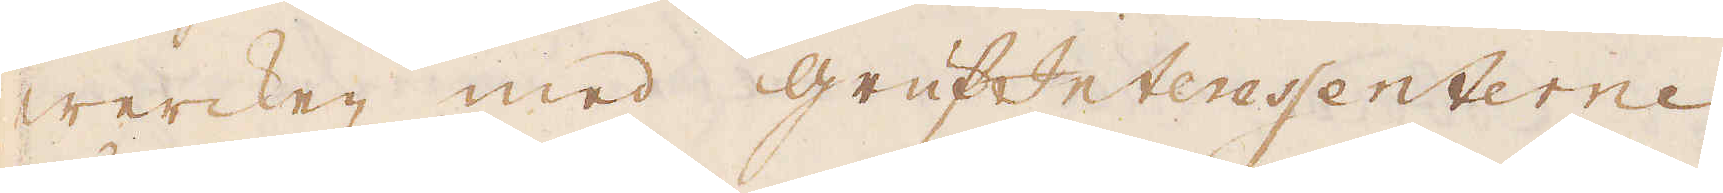wercken med grufInteressenterne
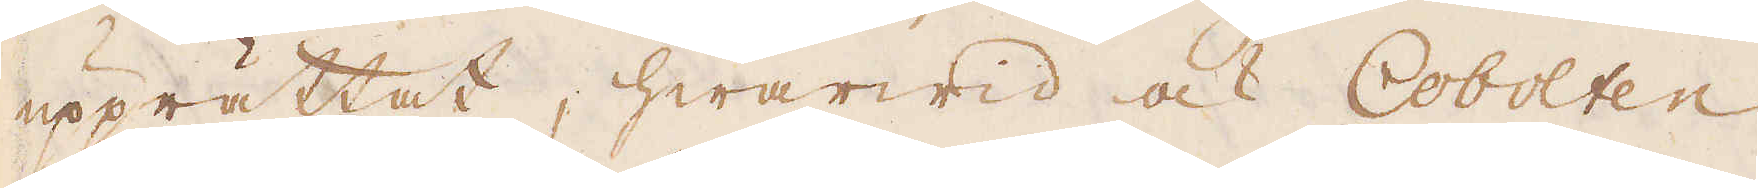upprättat, hwarwid ock Cobolten
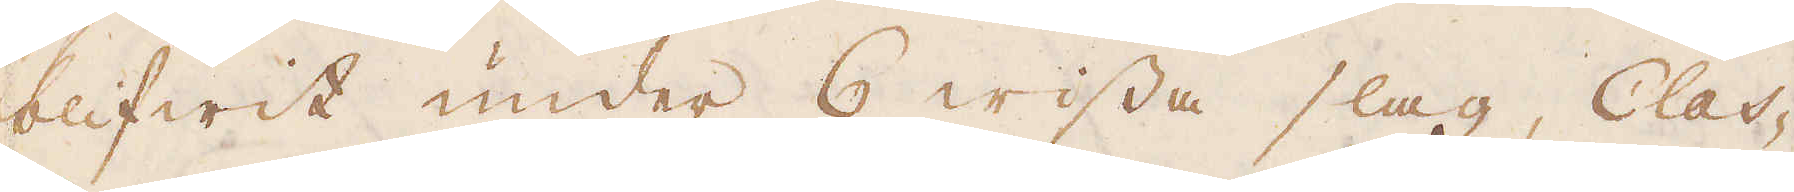blifwit under 6 wissa slag, Clas-
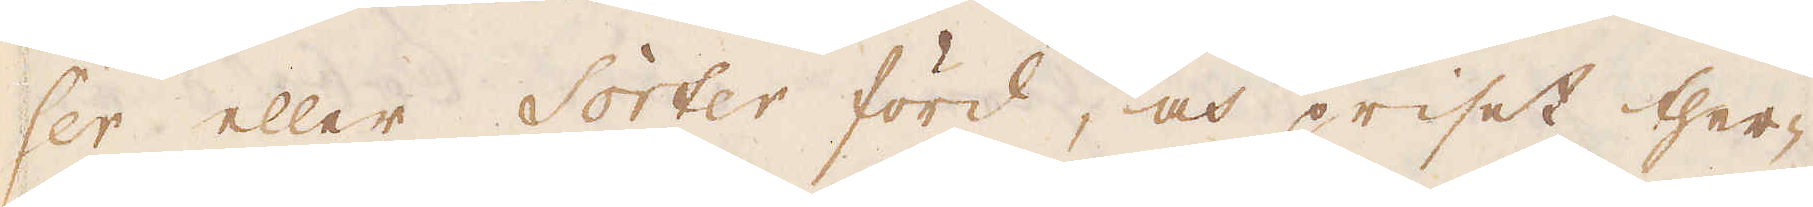ser eller Sorter förd, och priset ther-
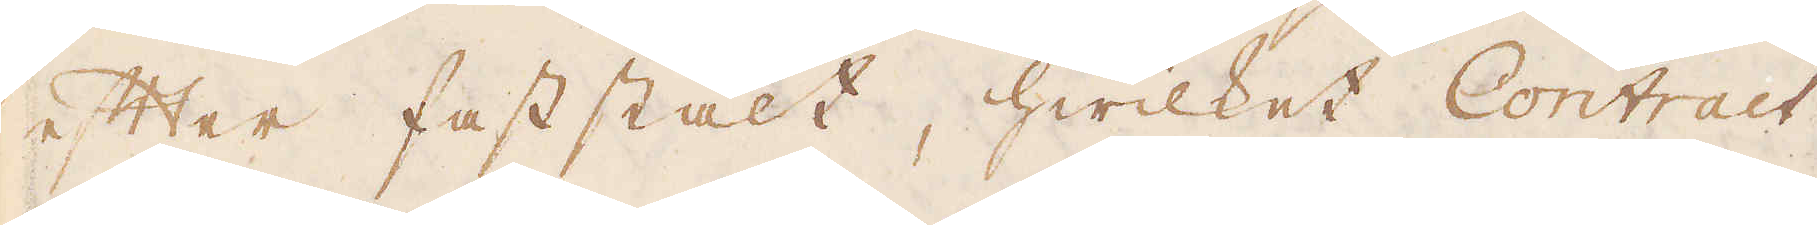efter faststält, hwilket Contract-
